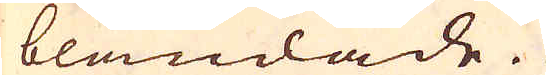blandade.
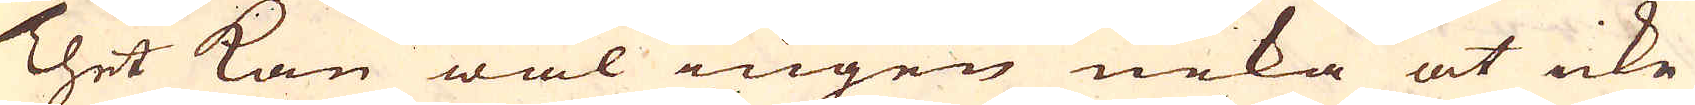Thet kan wäl ingen neka at icke
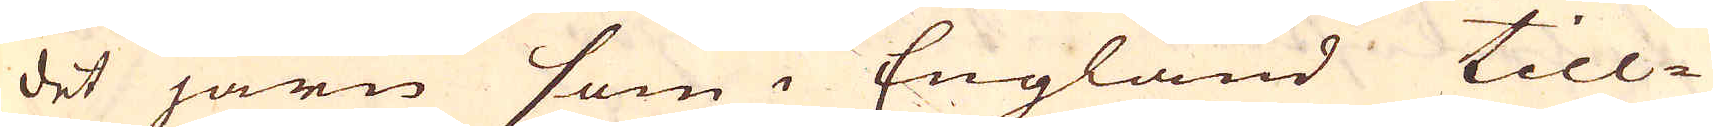det järn som i England till-
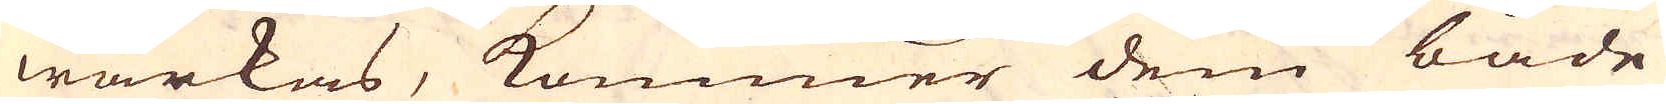wärkas, kommer dem både
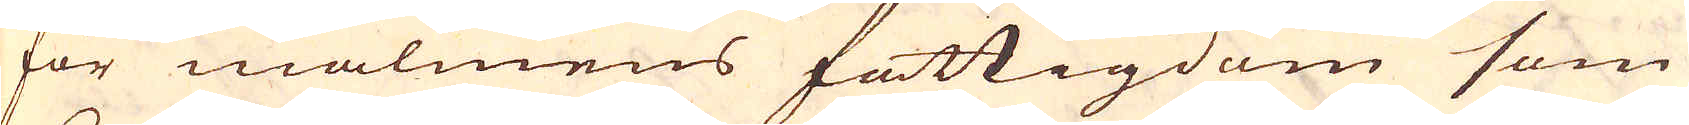för malmens fattigdom som
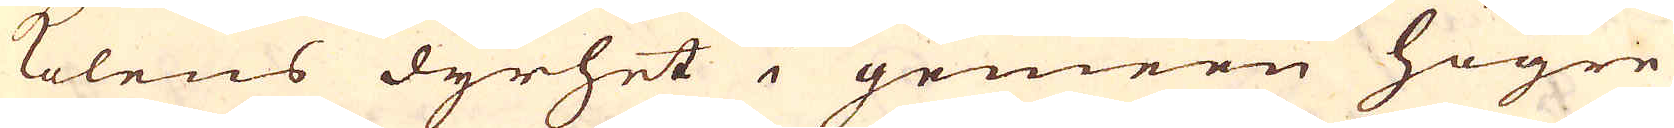kolens dyrhet i gemeen högre
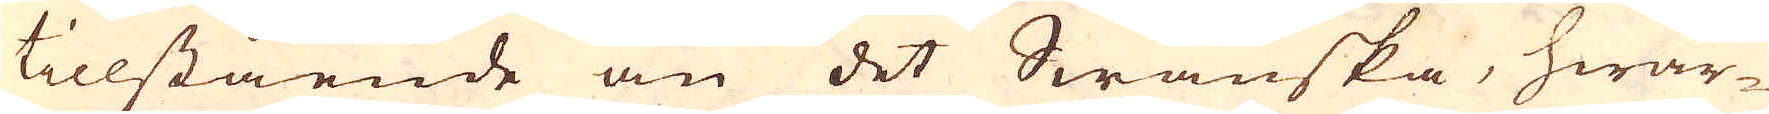tillstående än det Swänska, hwar-
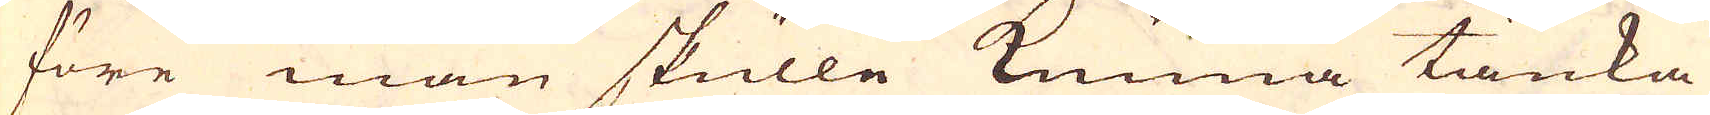före man skulle kunna tänka
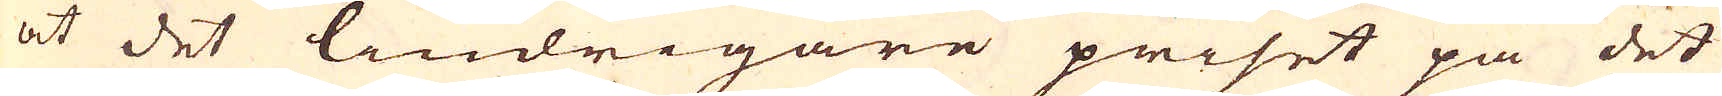at det lindrigare priset på det
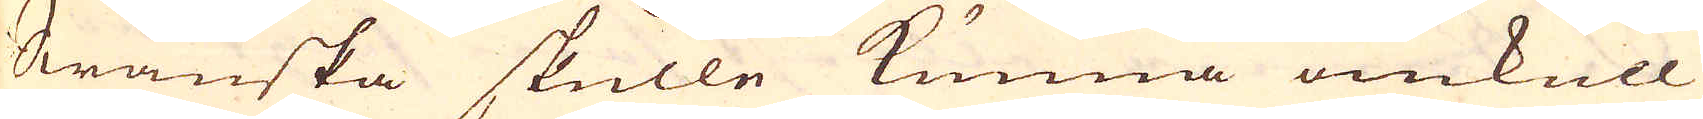Swänska skulle kunna omkull
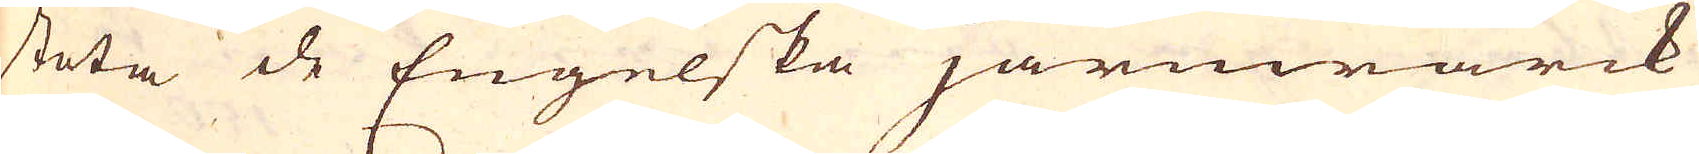stöta de Engelska järnwärck
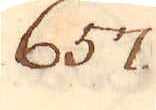657
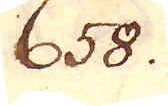658.
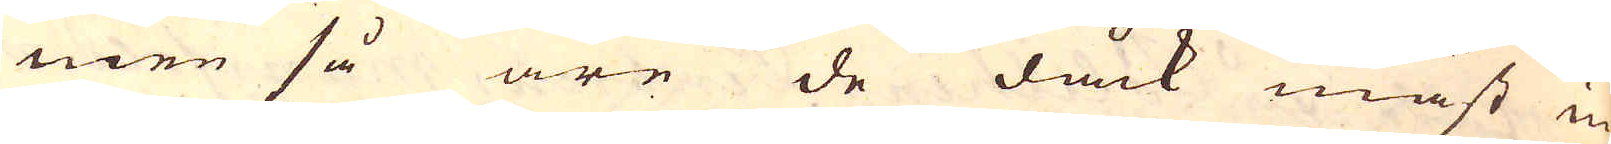men så äre de dåck mäst in
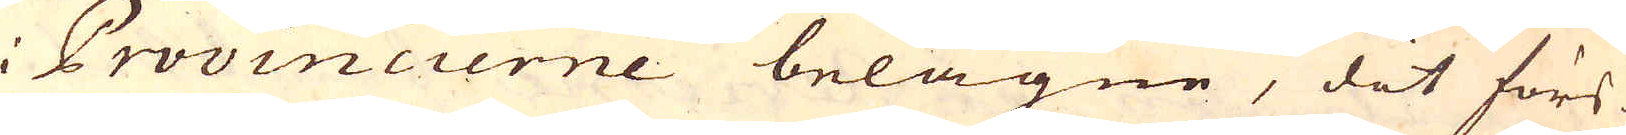i Provincierne belägne, dit förs-
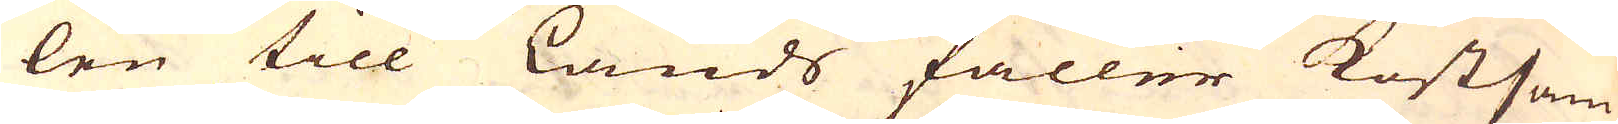len till Lands faller kostsam,
